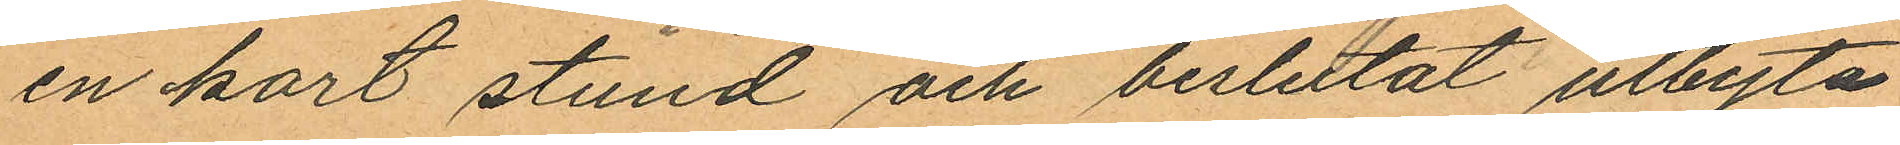en kort stund och beslutat utbyta
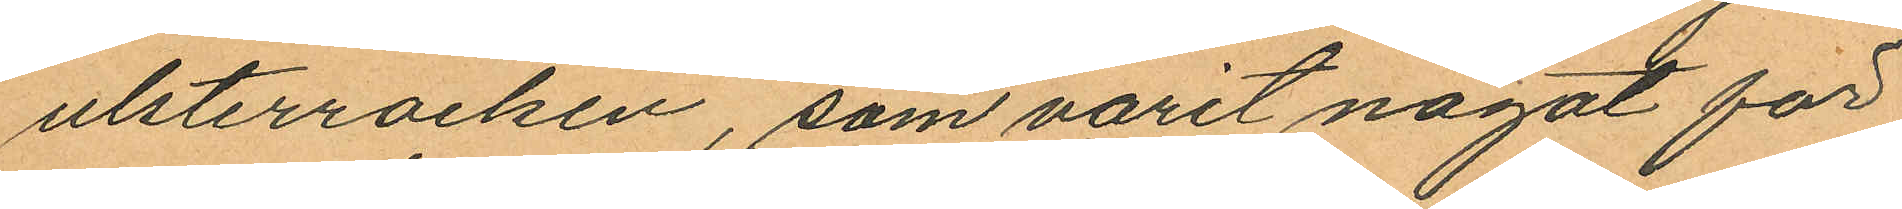ulsterrocken, som varit något för
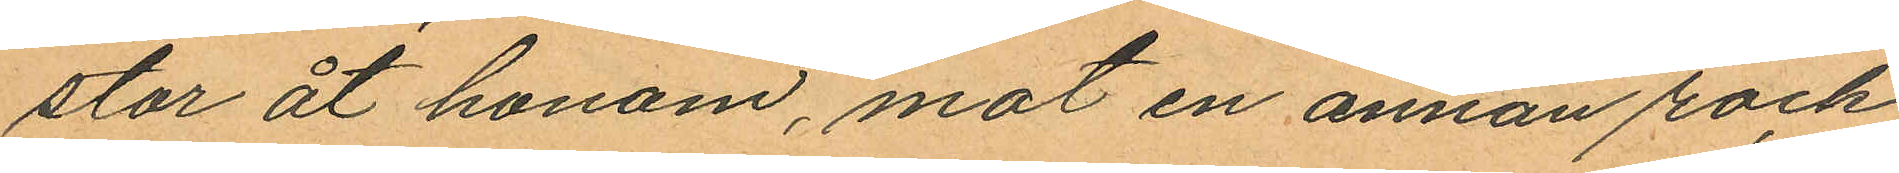stor åt honom, mot en annan rock
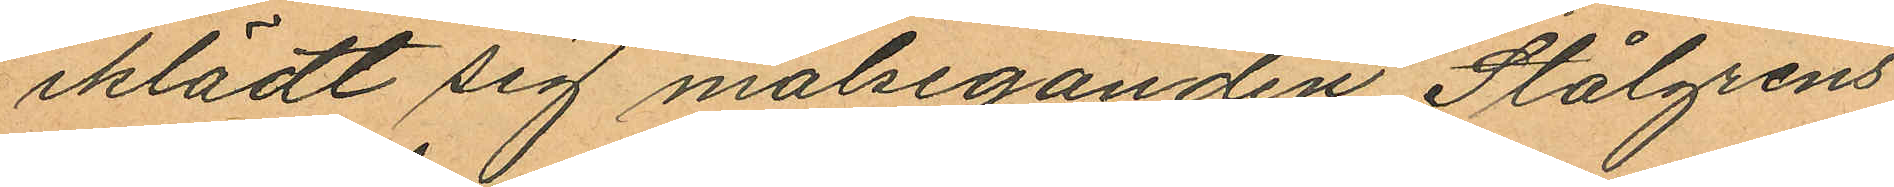iklädt sig målseganden Stålgrens
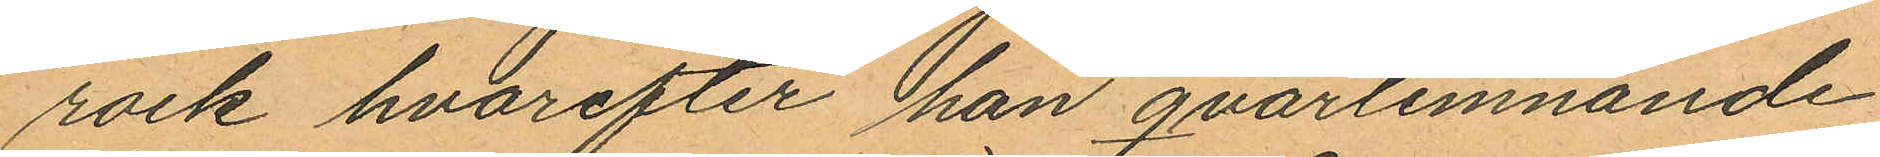rock hvarefter han qvarlemnande
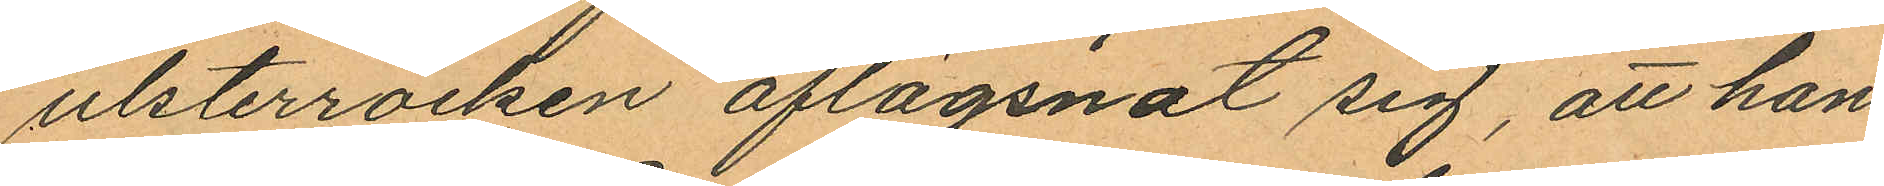ulsterrocken aflägsnat sig, att han
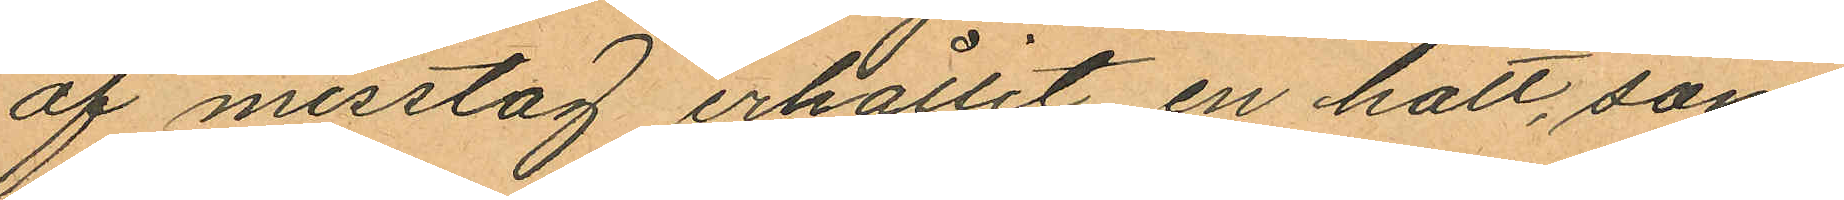af misstag erhållit en hatt, som
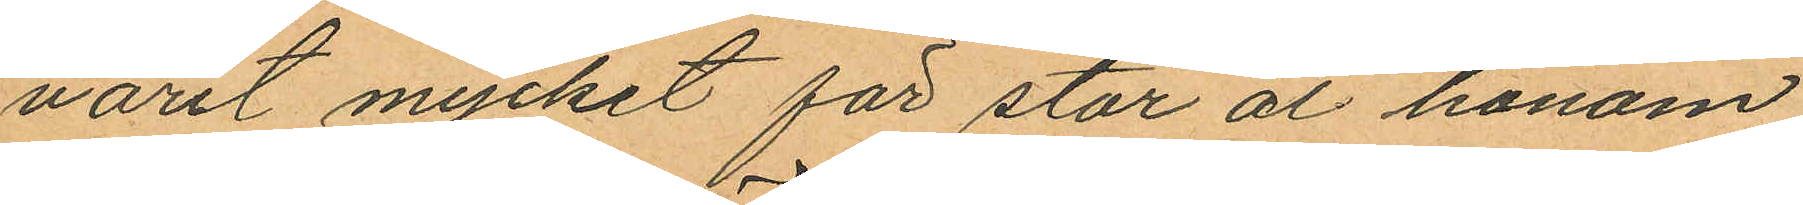varit mycket för stor åt honom
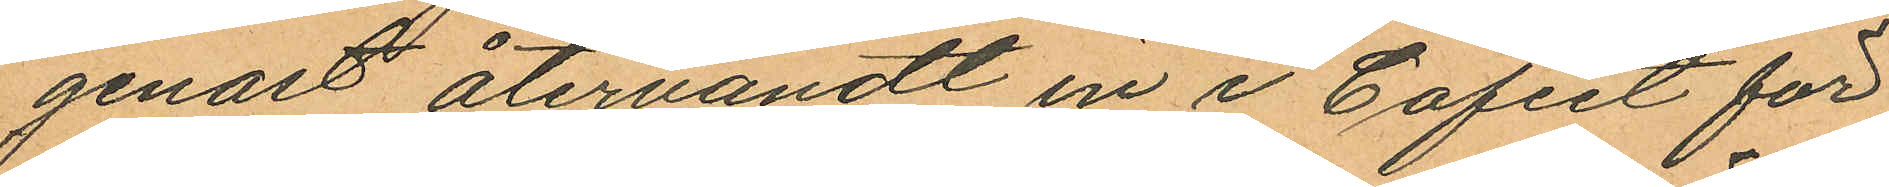genast återvändt in i Cafeet för
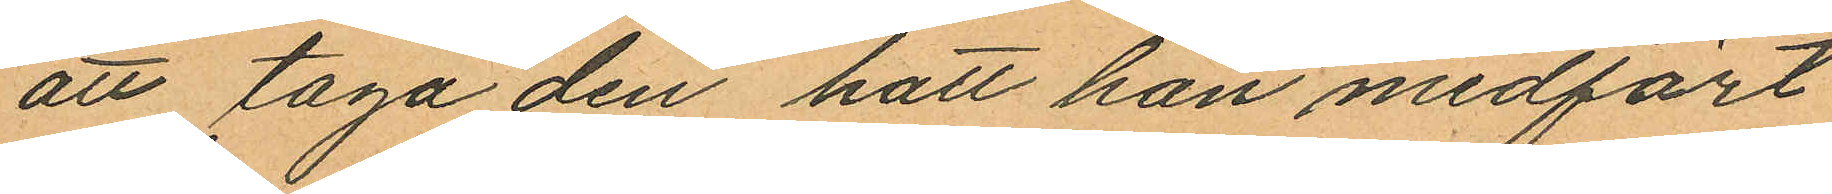att taga den hatt han medfört
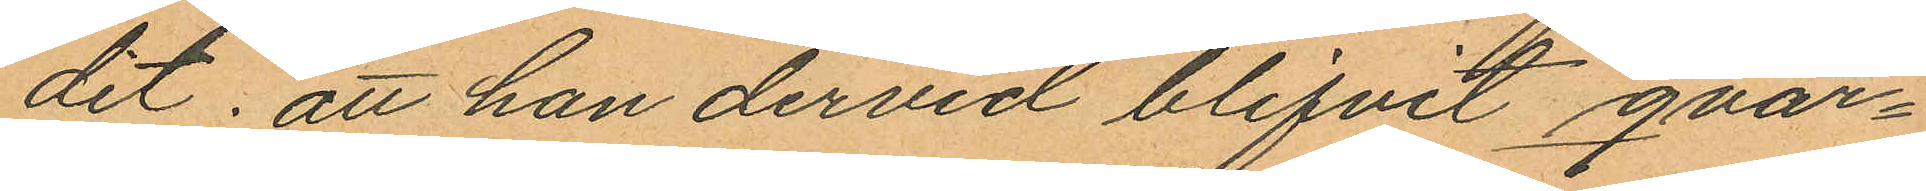dit; att han dervid blifvit qvar¬
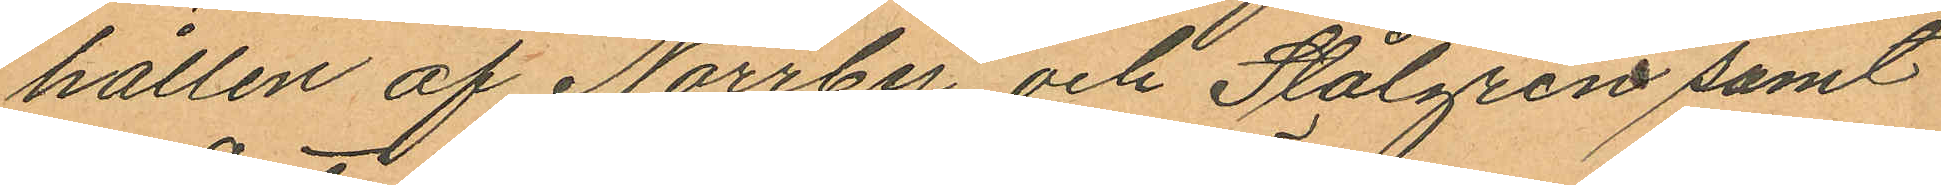hållen af Norrby och Stålgren samt
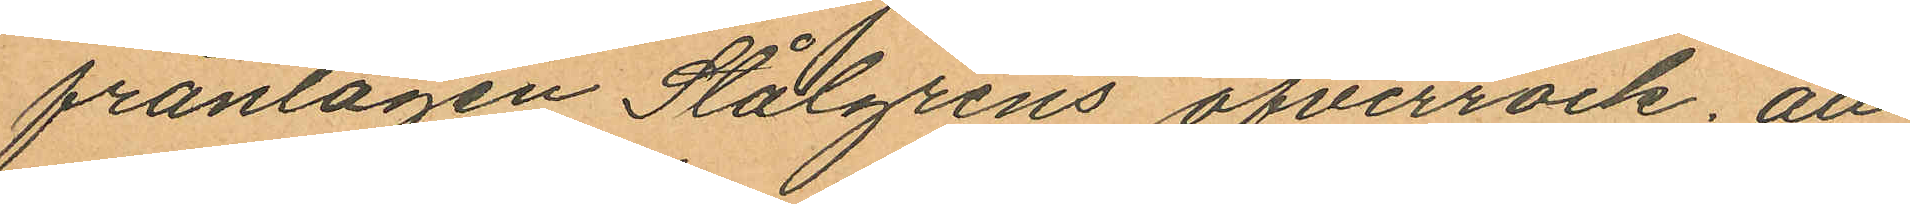fråntagen Stålgrens öfverrock; att
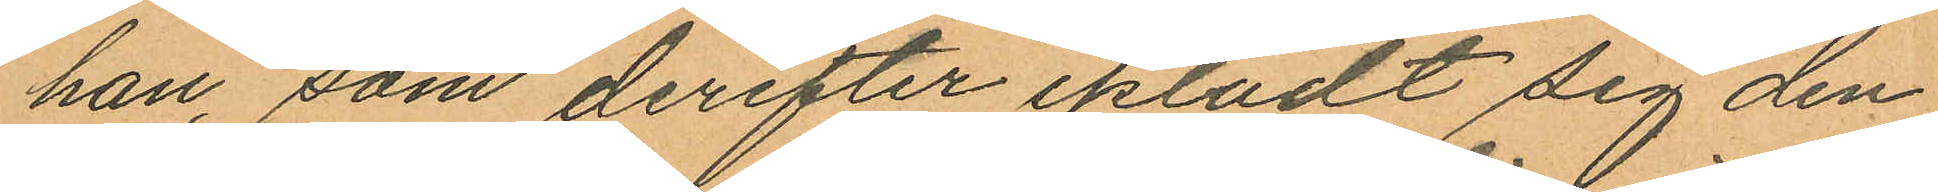han, som derefter iklädt sig den
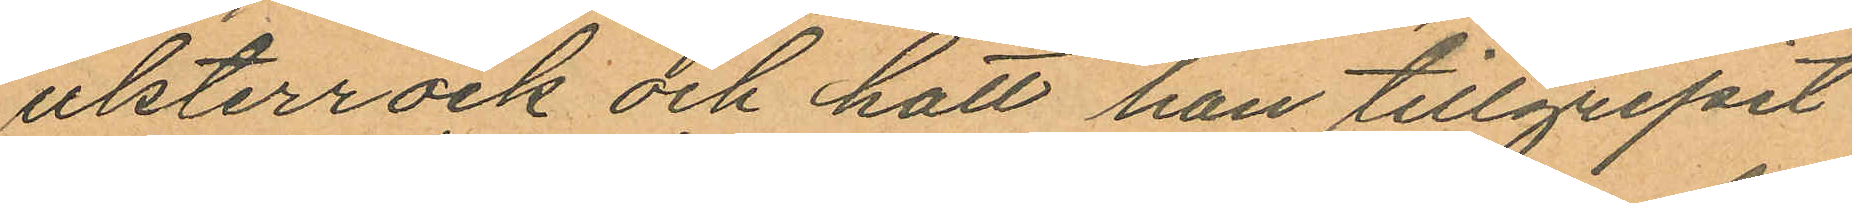ulsterrock och hatt han tillgripit
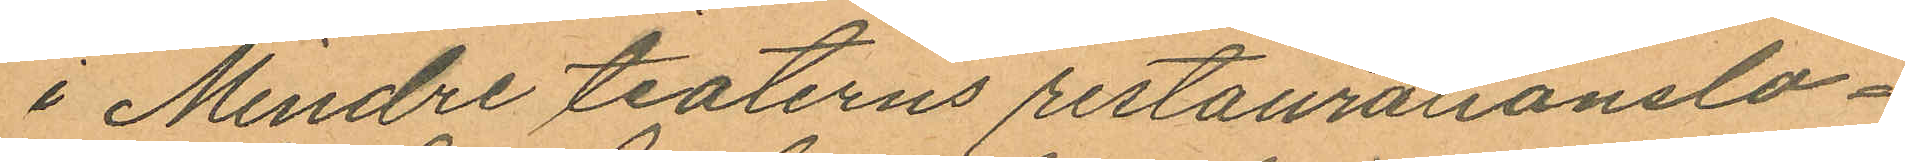i Mindre teaterns restaurationslo¬
